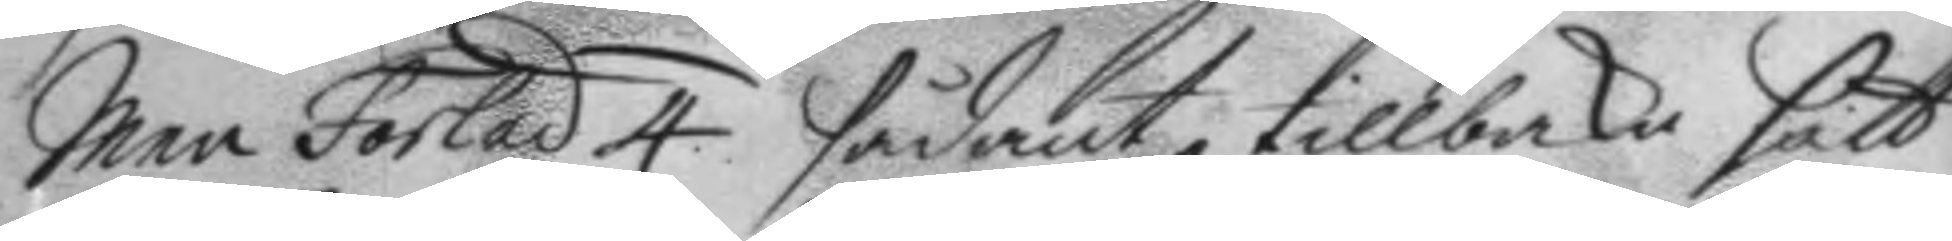Men Forlad 4. sådant tillbaka fått
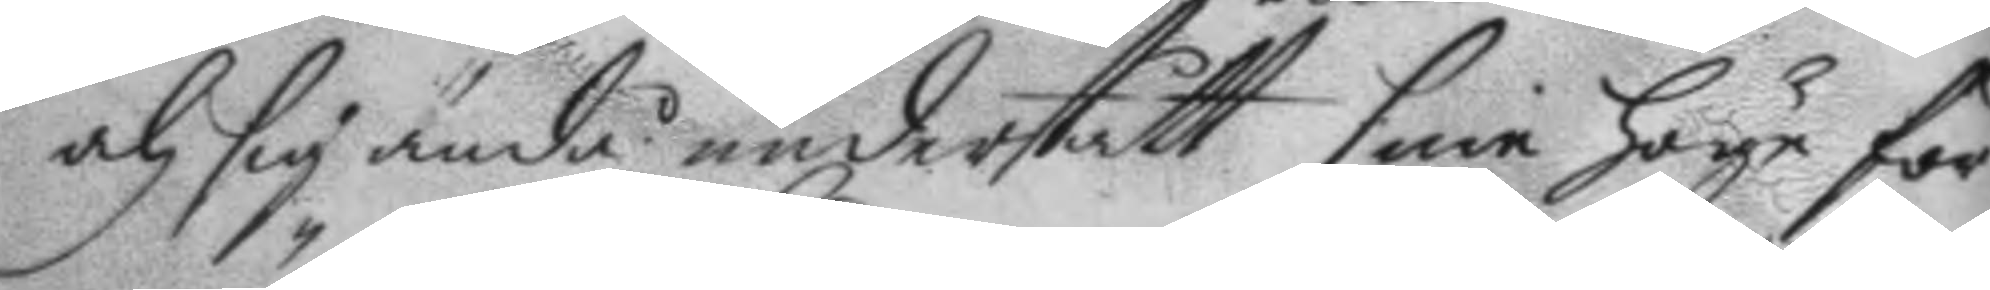och sig ändå understått sine höge för¬
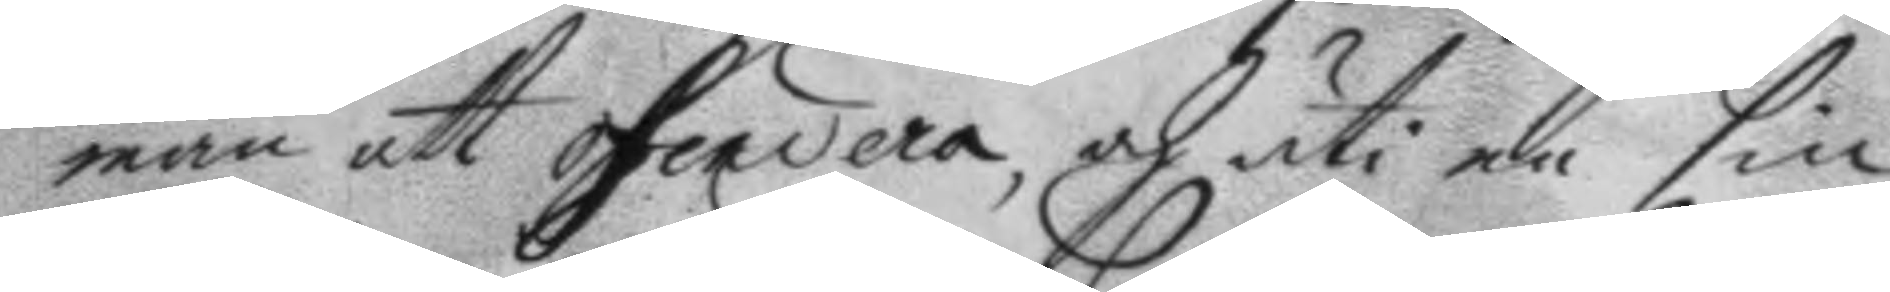män att oferiera, och uti en sin
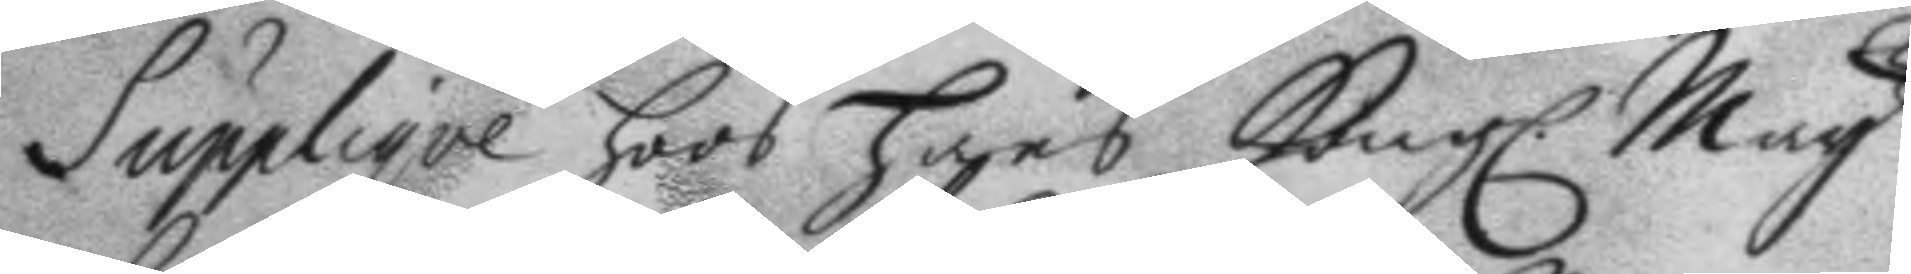Supplique hoos hans Kongl. May.tt
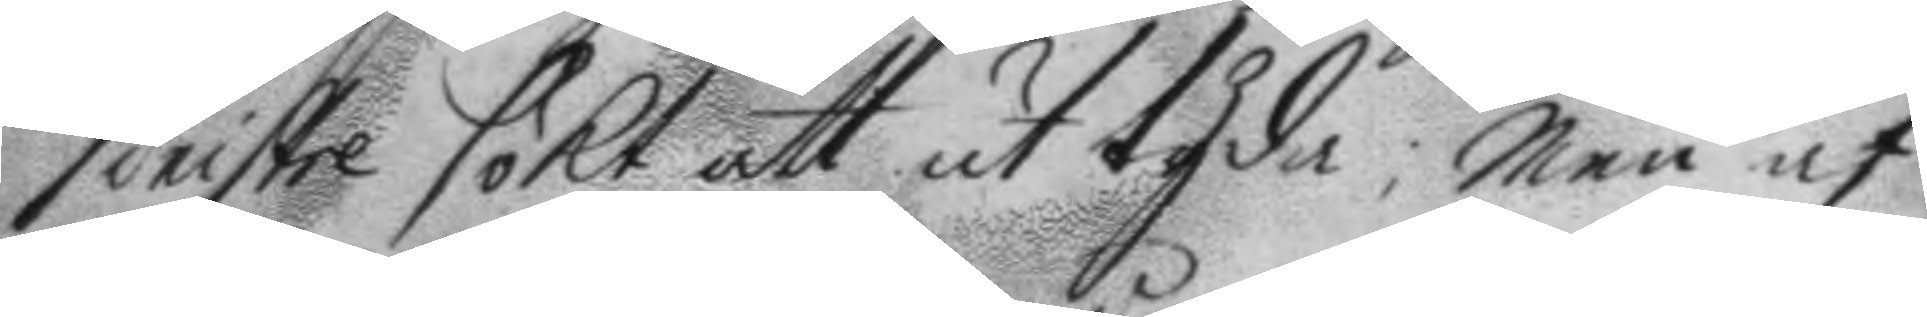sinistre sökt att uttyda: men af
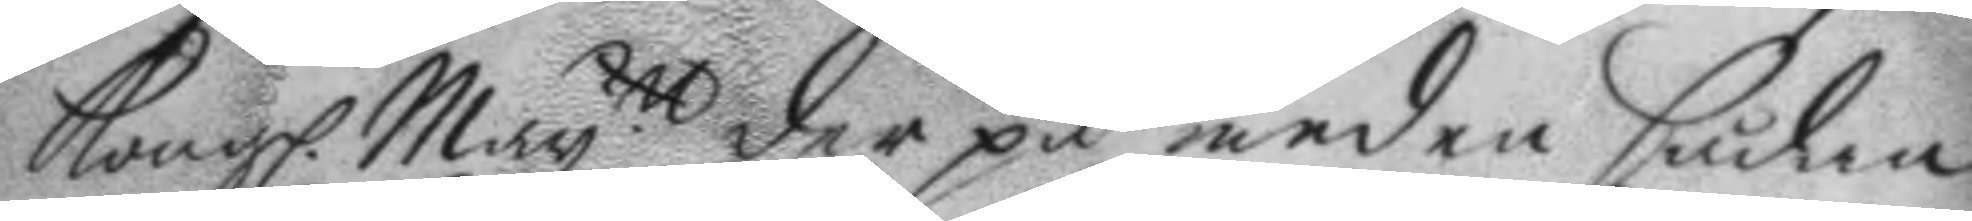Kongl. May.tt der på medan sådan
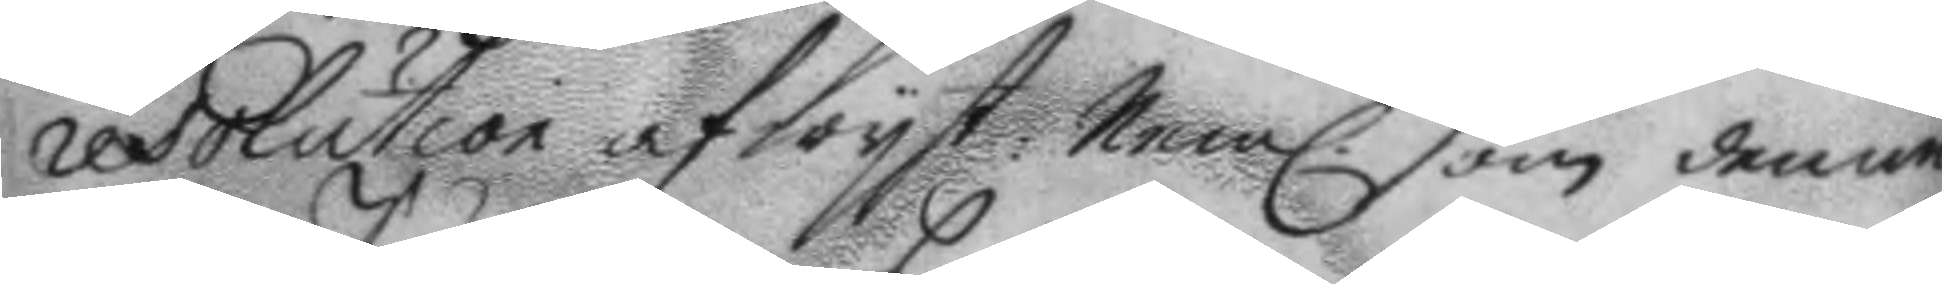resolution afwyst: Neml. som denne
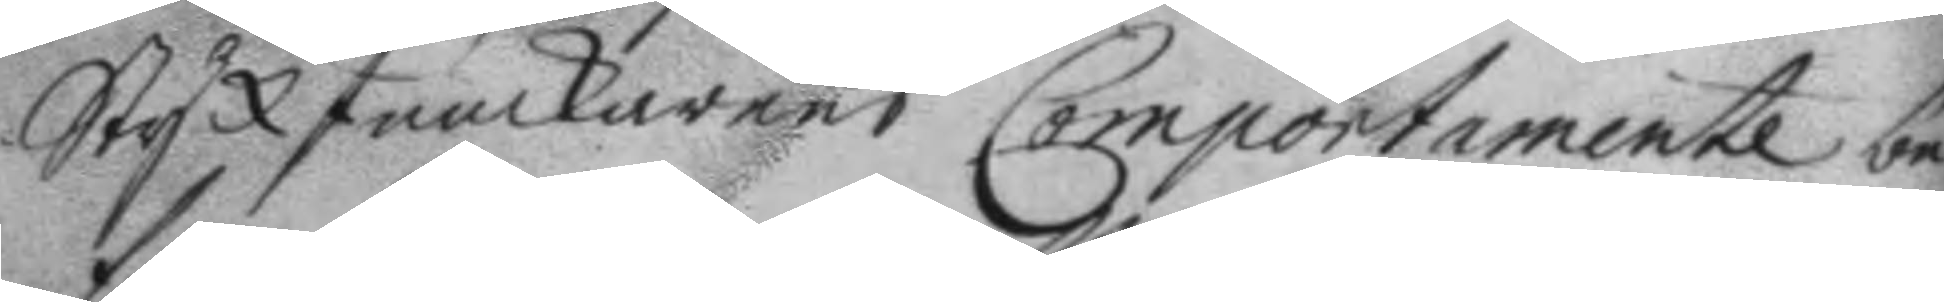StyckJunckarens Comportamente be¬
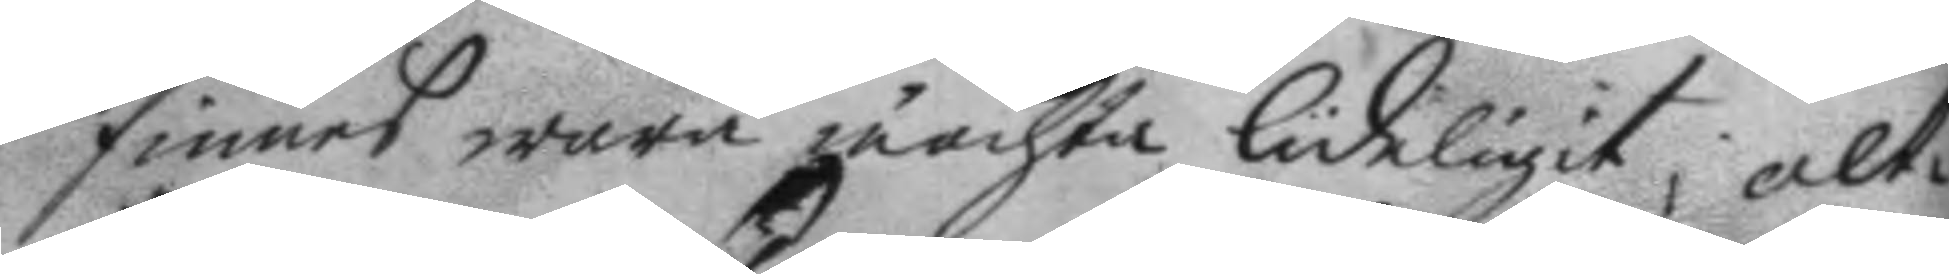finnes wara mächta lideligit, alt¬
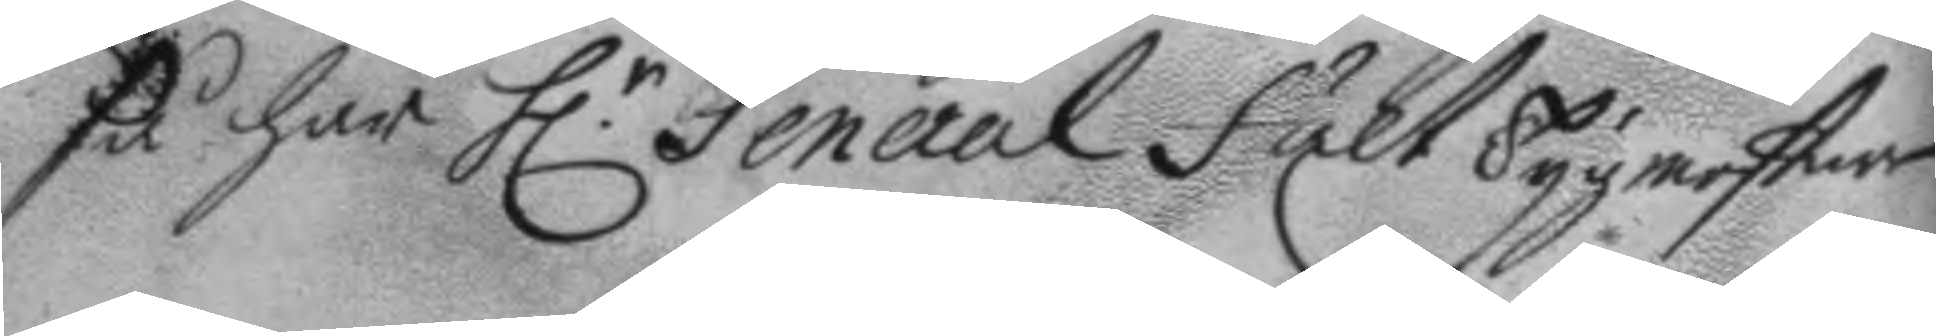så har h.r General fält tygmestaren
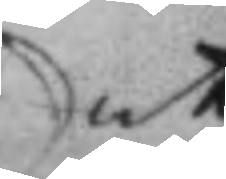att
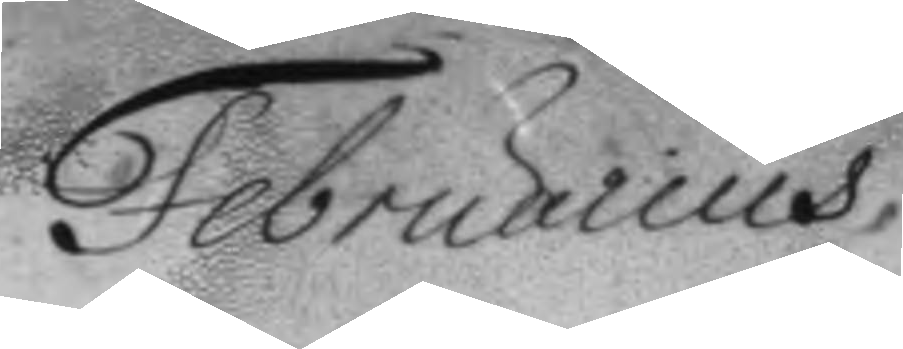Februarius
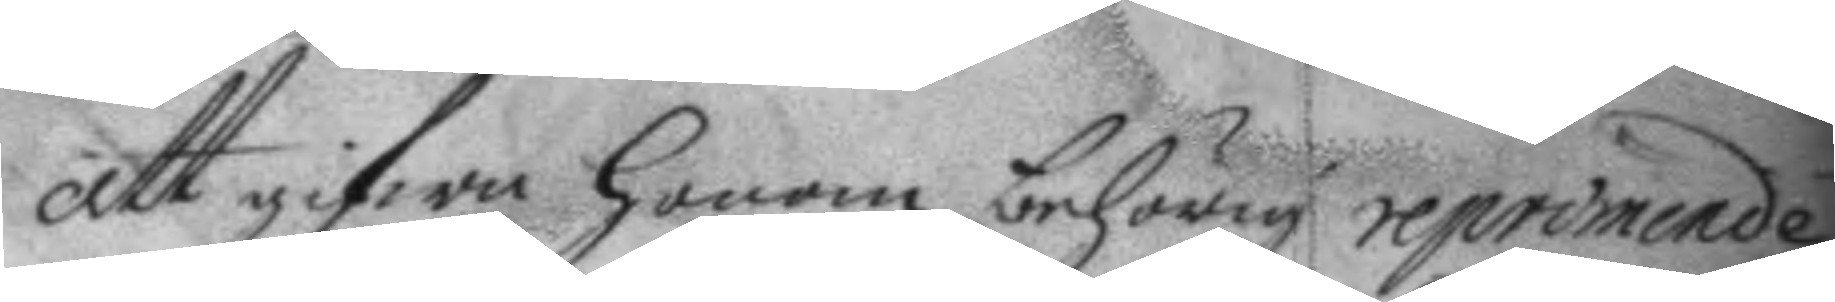att gifwa honom nehörig reprimande
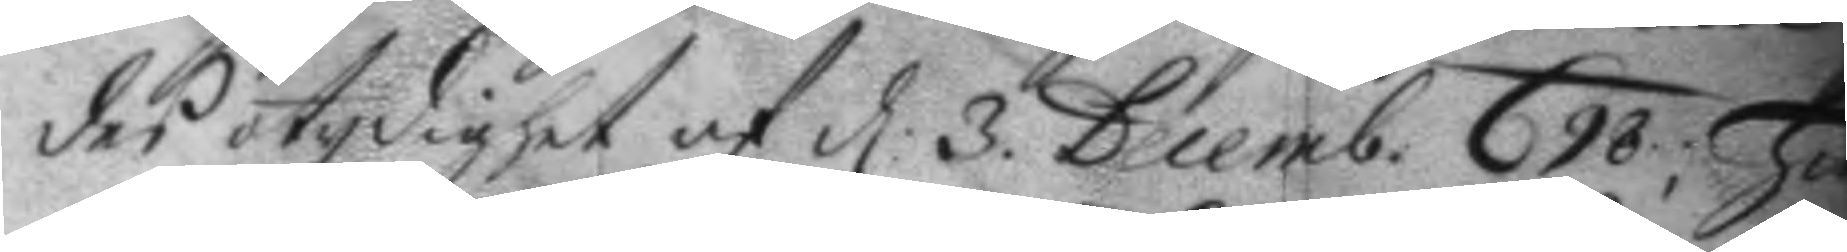des otydighet af d: 3. Decemb. 698; Ha
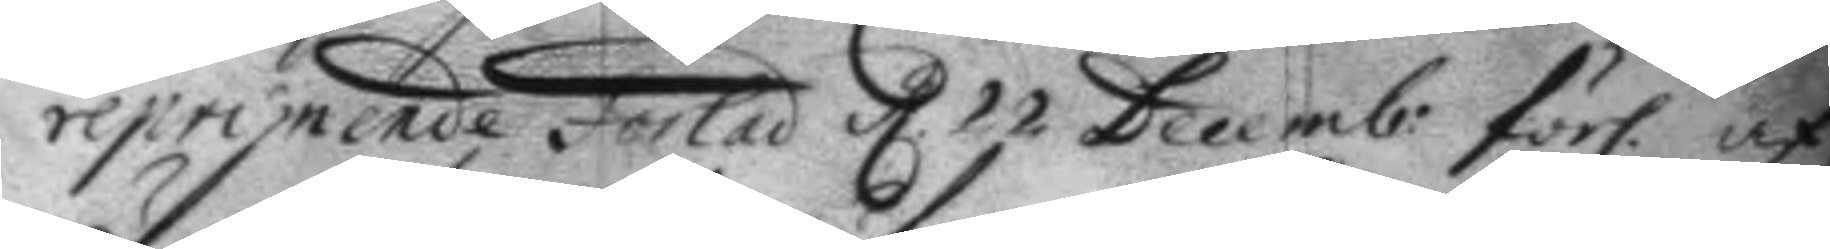reprimende Forlad d. 22 Decemb: förl. af
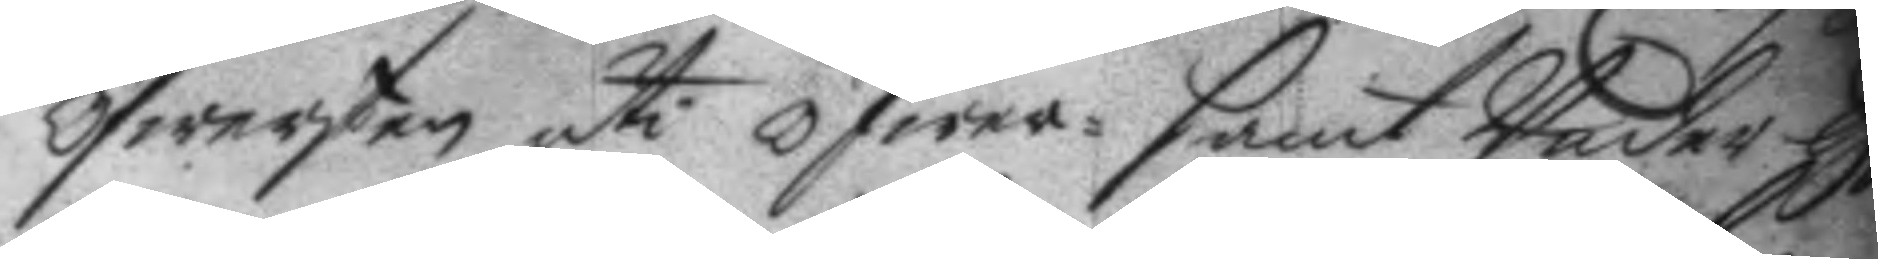öfwersten uti öfwer- samt Under off
